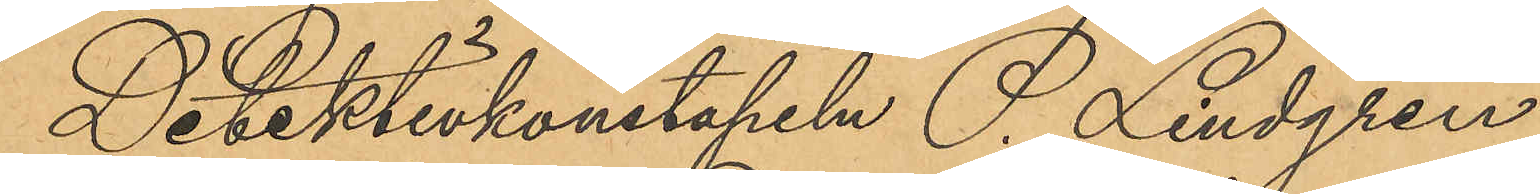Detektivkonstapeln P. Lindgren
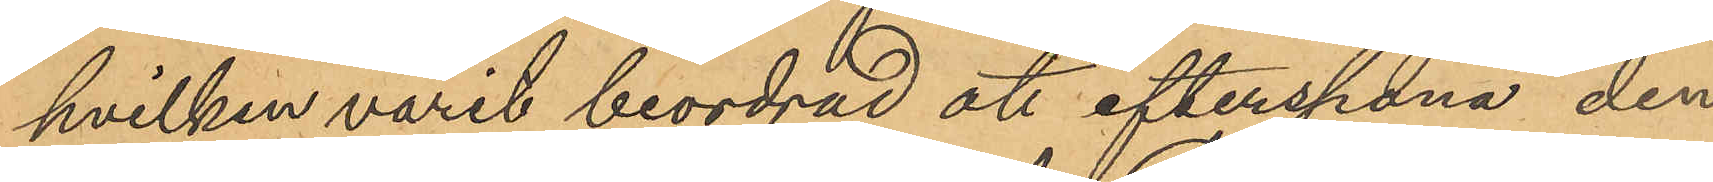hvilken varit beordrad att efterspana den
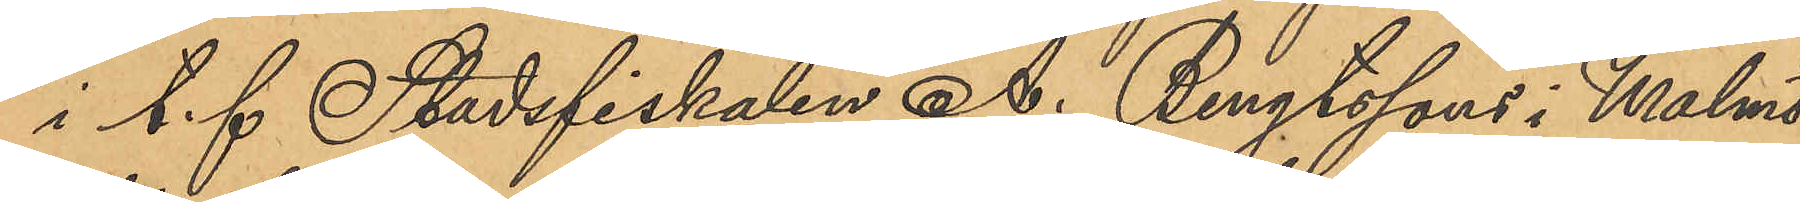i t.f. Stadsfiskalen A. Bengtssons i Malmö
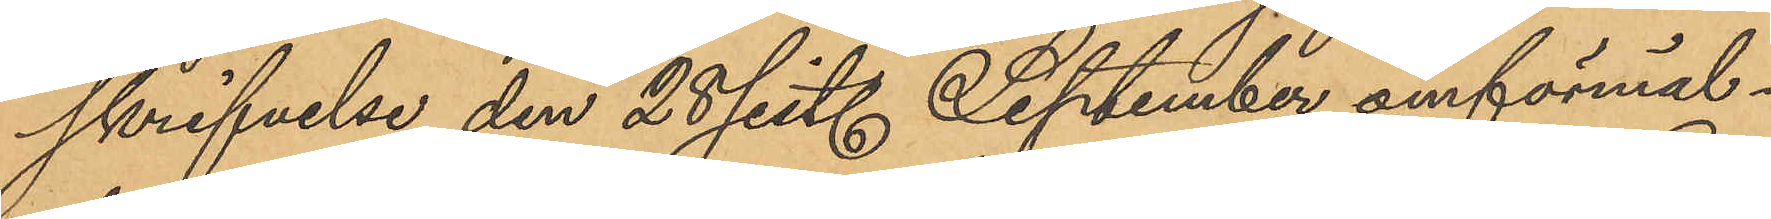skrifvelse den 28 sist. September omförmäl¬
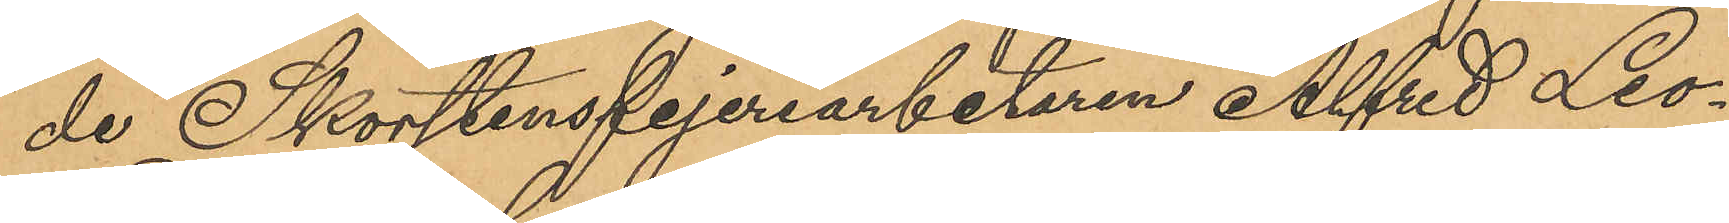de Skorstensfejeriarbetaren Alfred Leo¬
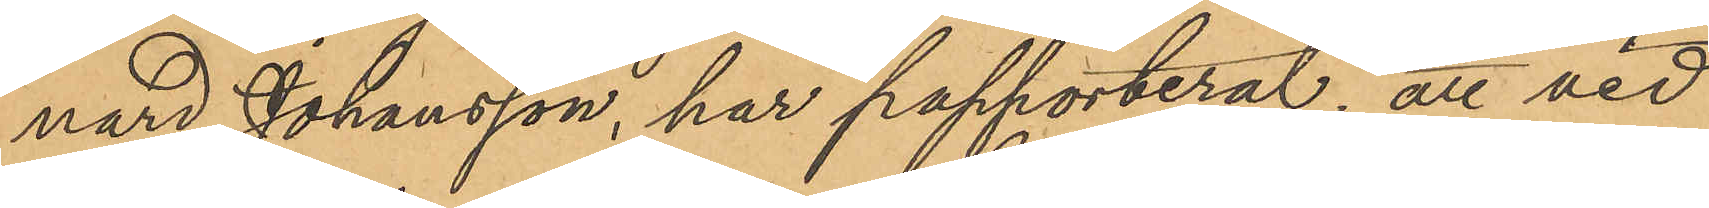nard Johansson, har papporterat, att vid
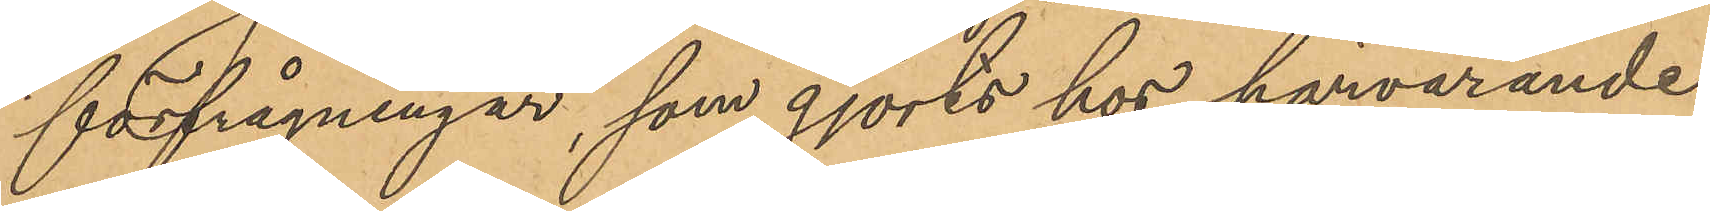förfrågningar, som gjorts hos härvarande
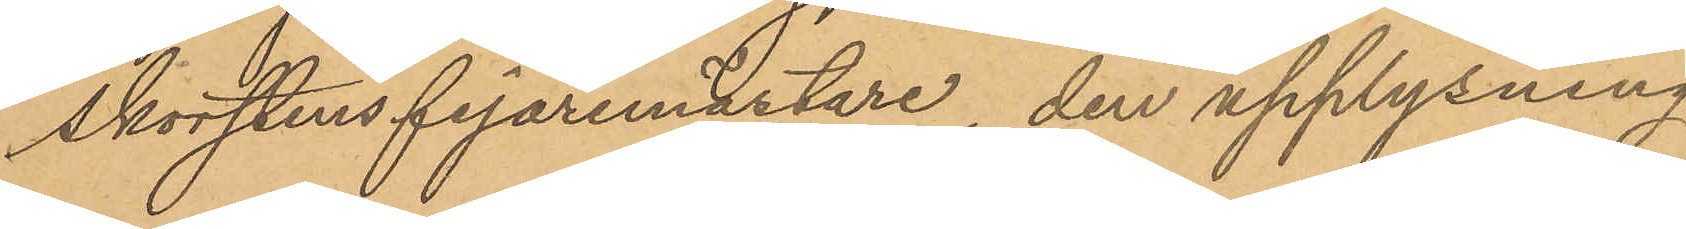Skorstensfejaremästare, den upplysning
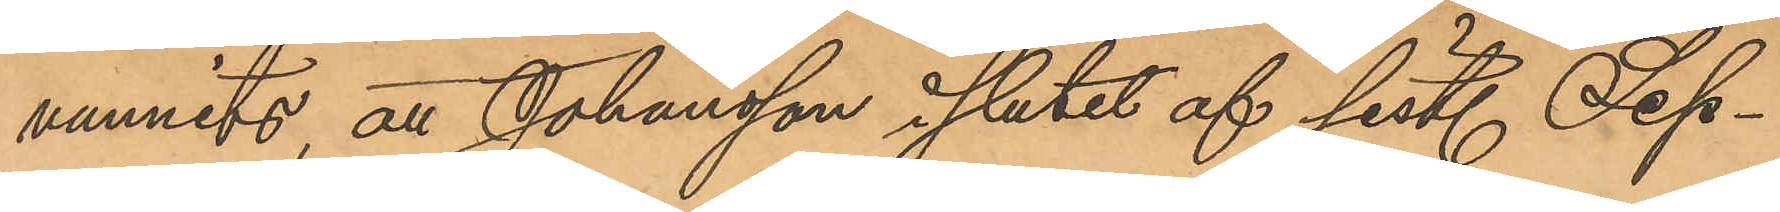vunnits, att Johansson i slutet af sist. Sep¬
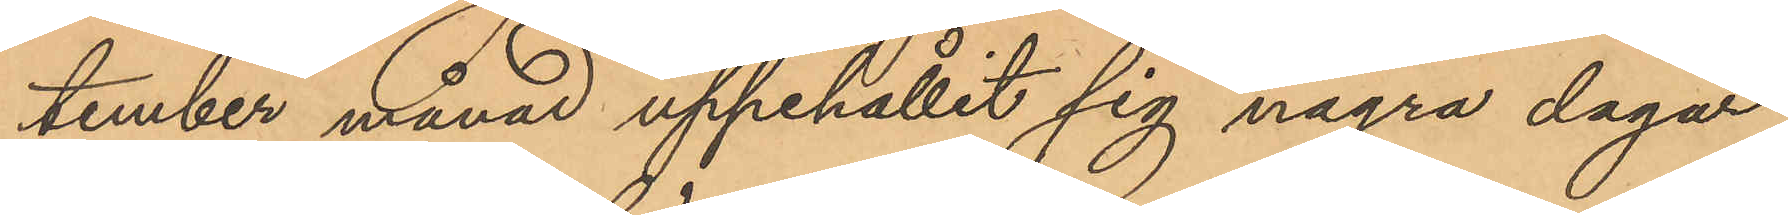tember månad uppehållit sig några dagar
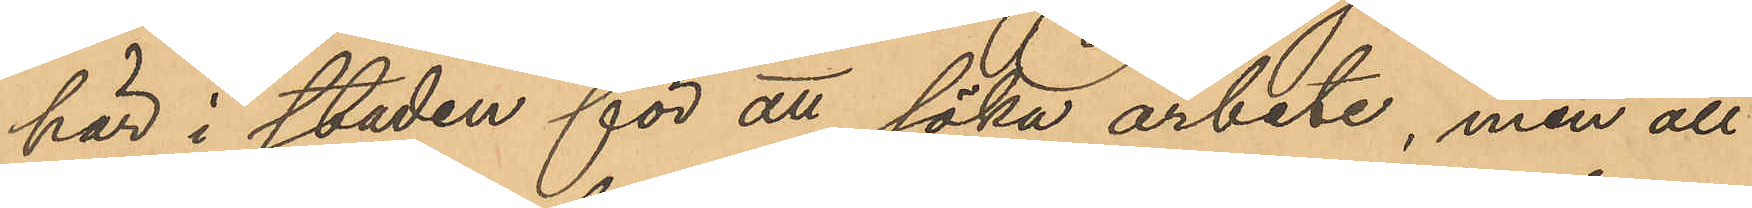här i staden för att söka arbete, men att
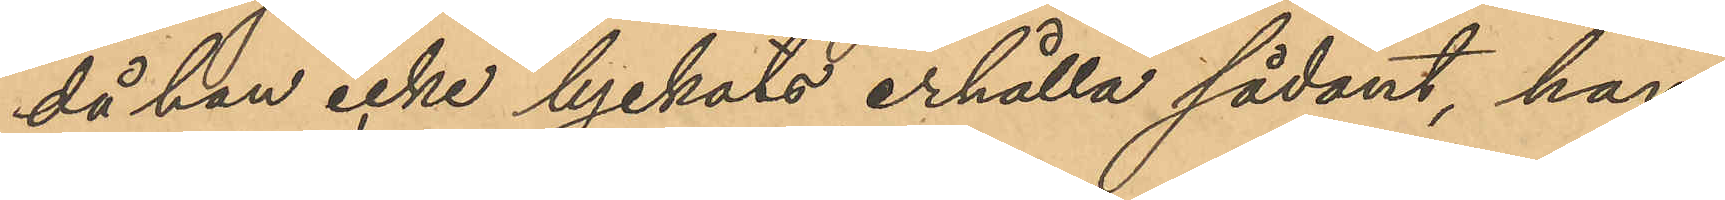då han icke lyckats erhålla sådant, han
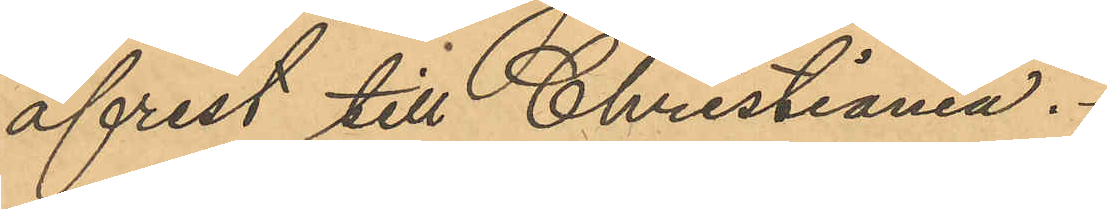afrest till Christiania.
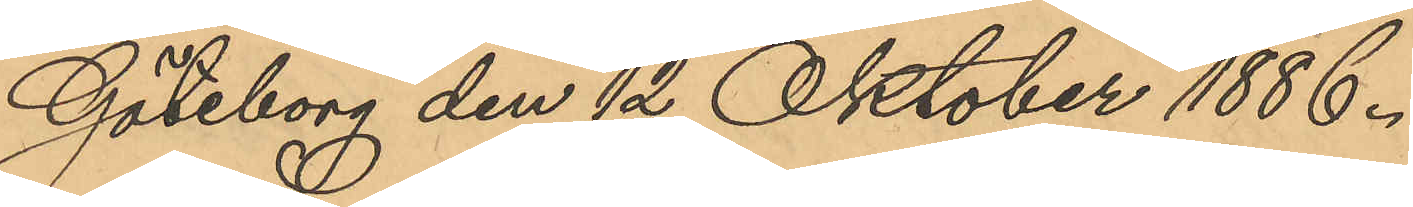Göteborg den 12 Oktober 1886.
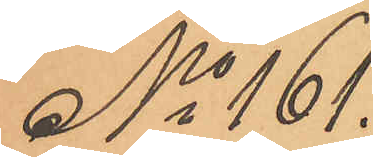No 161.
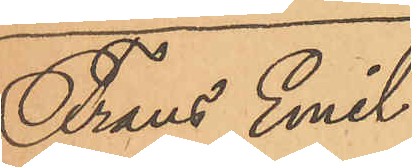Frans Emil
